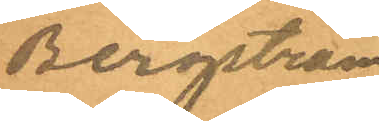Bergström
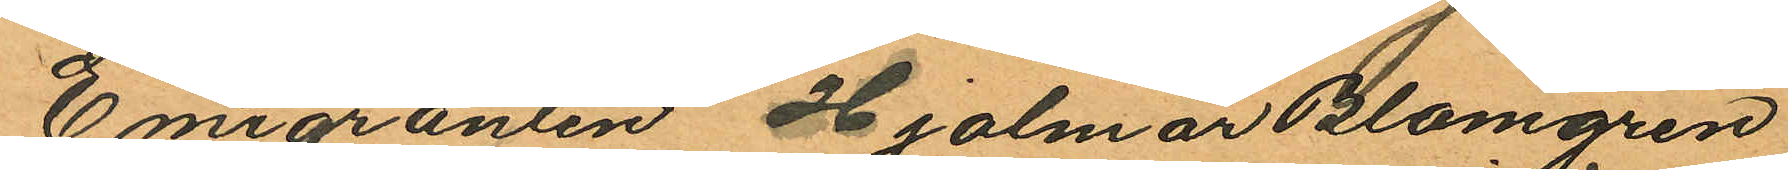Emigranten Hjalmar Blomgren
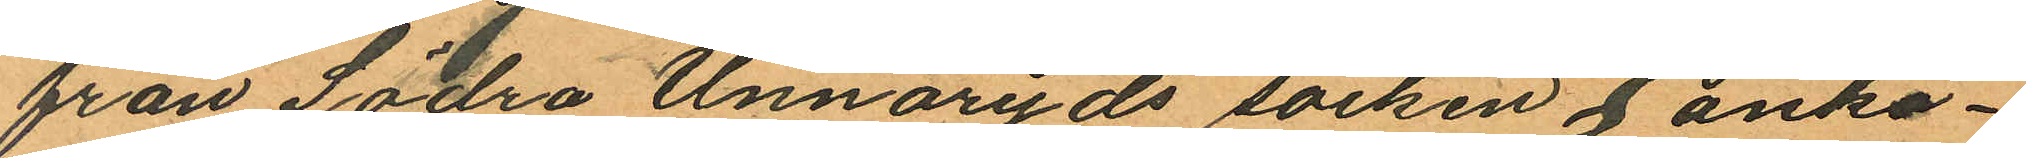från Södra Unnaryds socken Jönkö¬
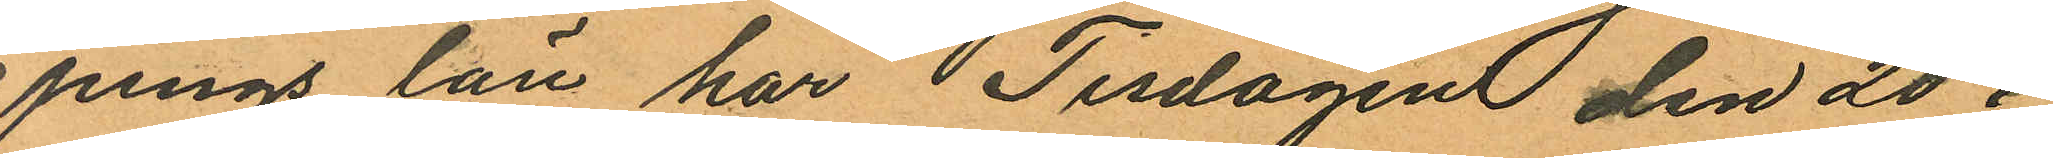pings län har i Tisdagen den 20 i
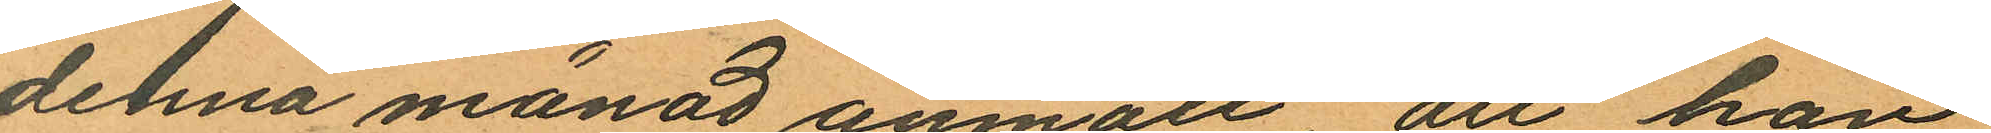denna månad anmält att han
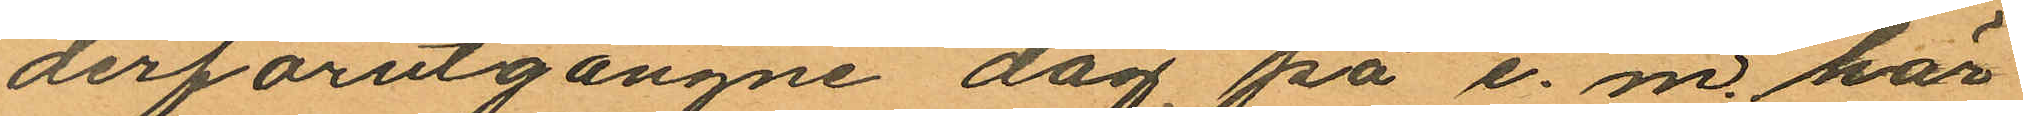derförutgångne dag på e. m. här
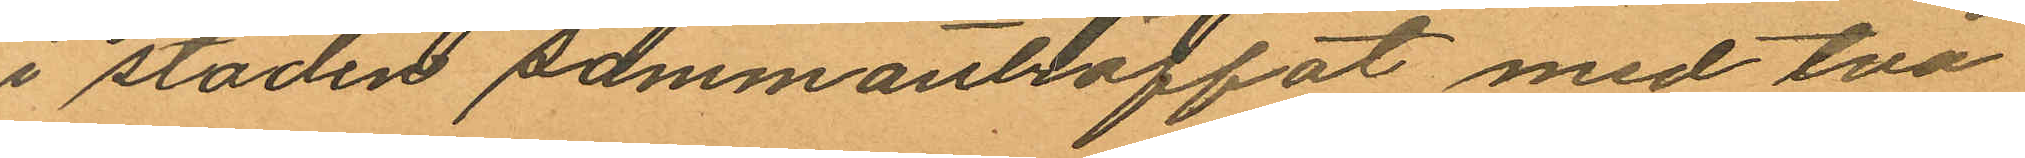i staden sammanträffat med två
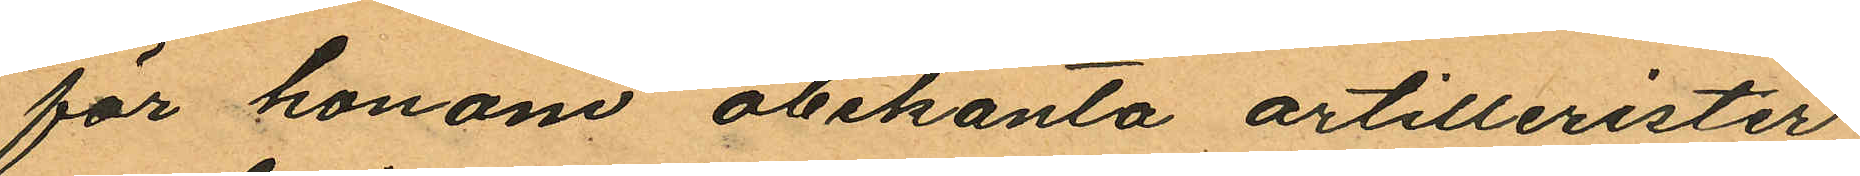för honom obekanta artillerister
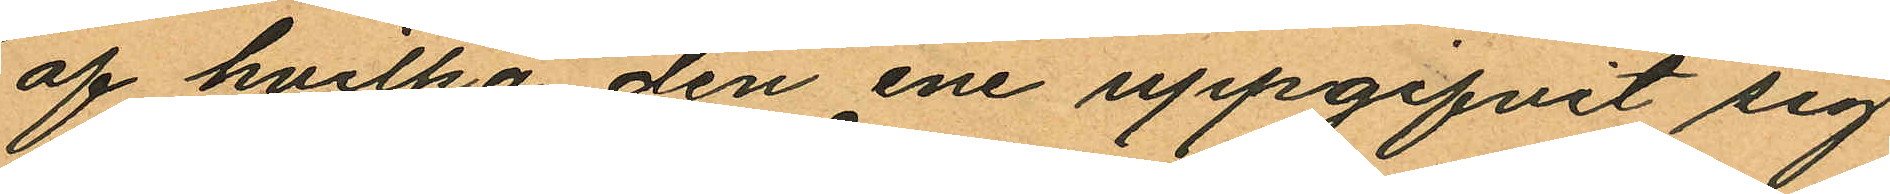af hvilka den ene uppgifvit sig
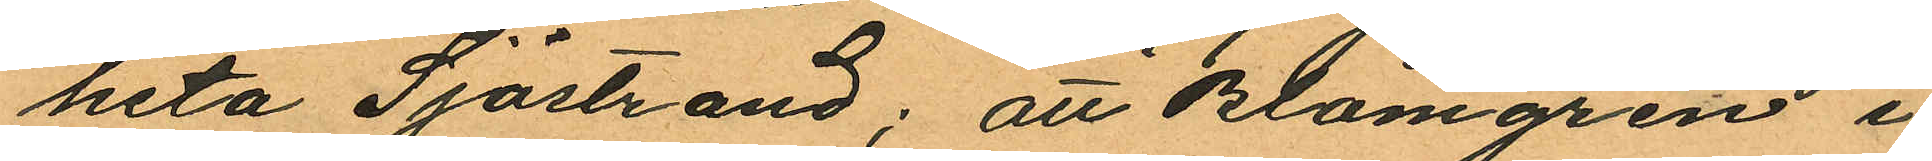heta Sjöstrand; att Blomgren i
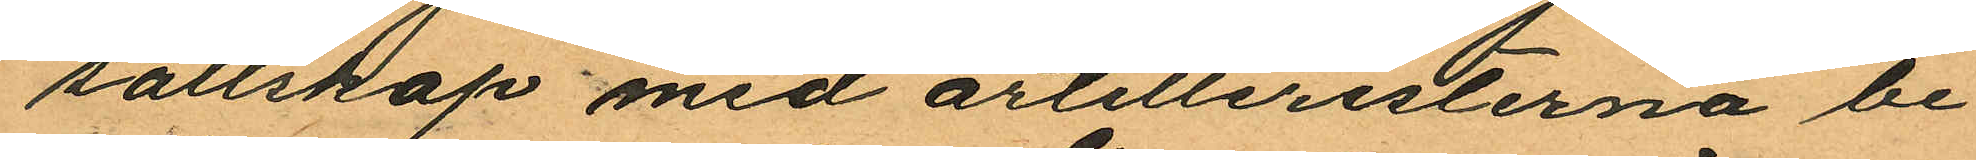sällskap med artilleristerna be¬
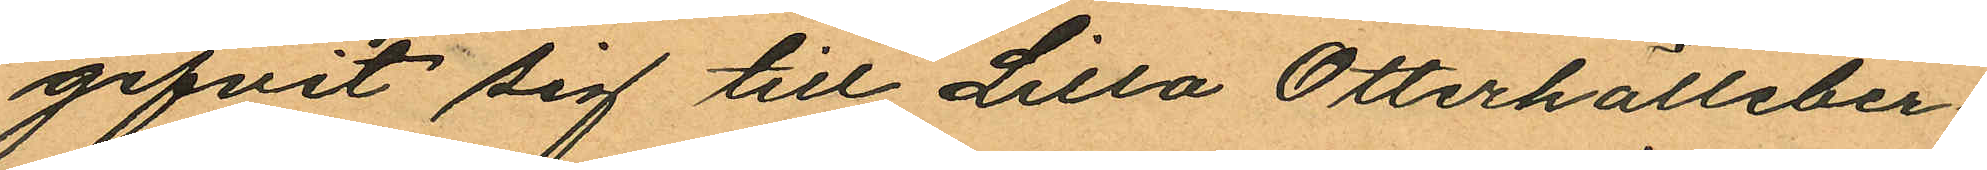gifvit sig till Lilla Otterhälleber¬
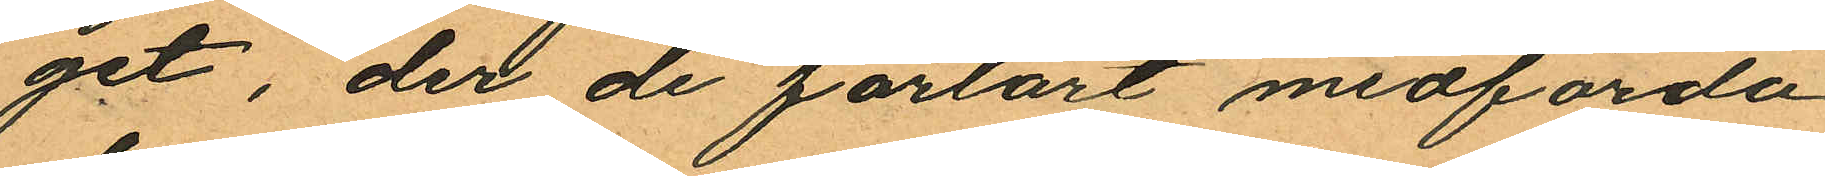get, der de förtärt medförda
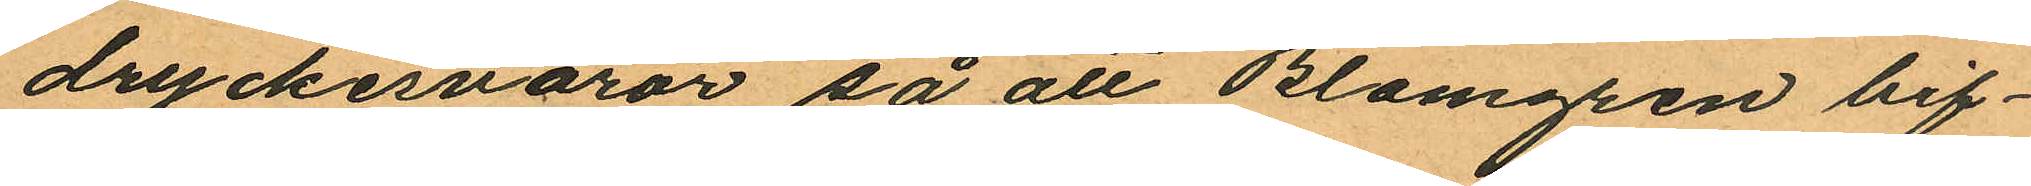dryckesvaror så att Blomgren bif¬
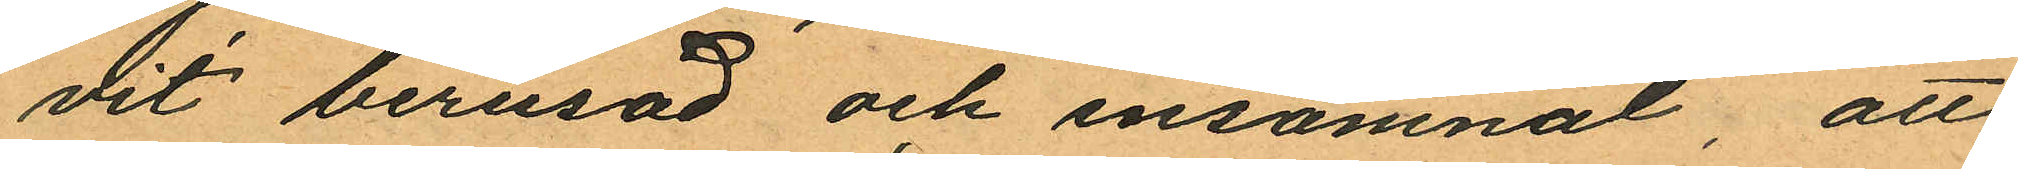vit berusad och insomnat, att
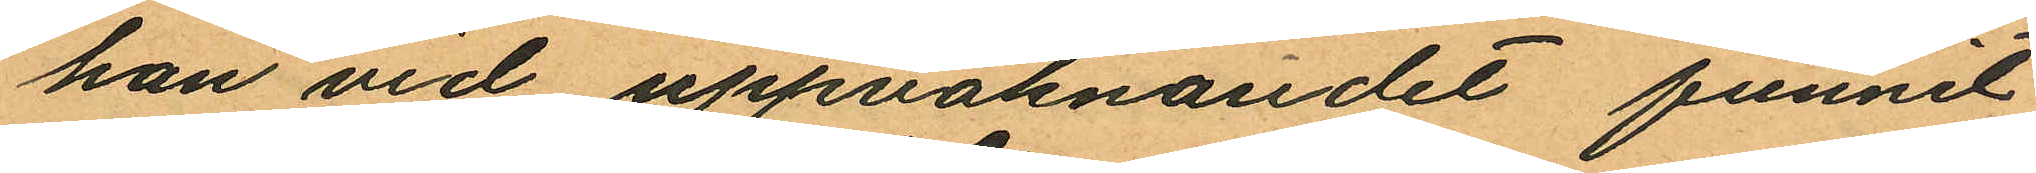han vid uppvaknandet funnit
